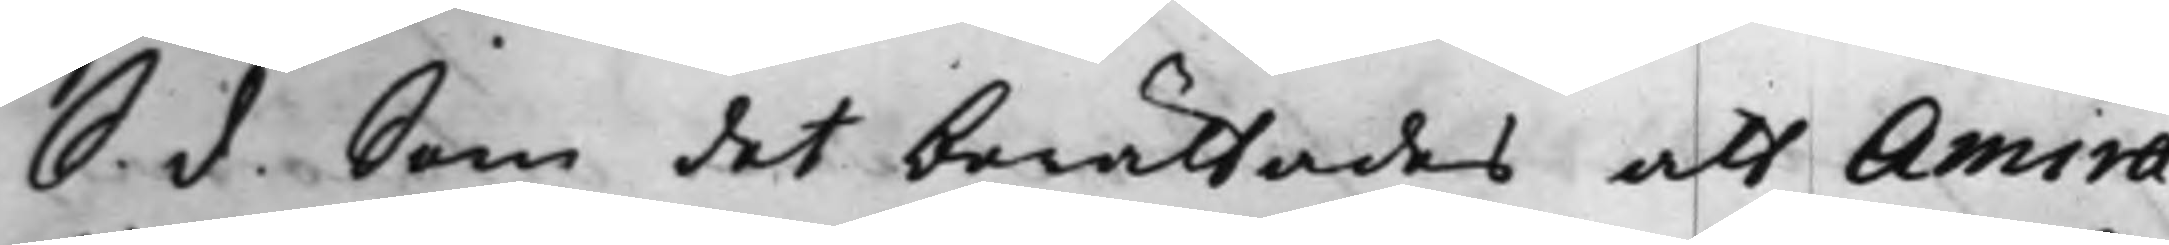S. d. Som det berättades att Amira¬
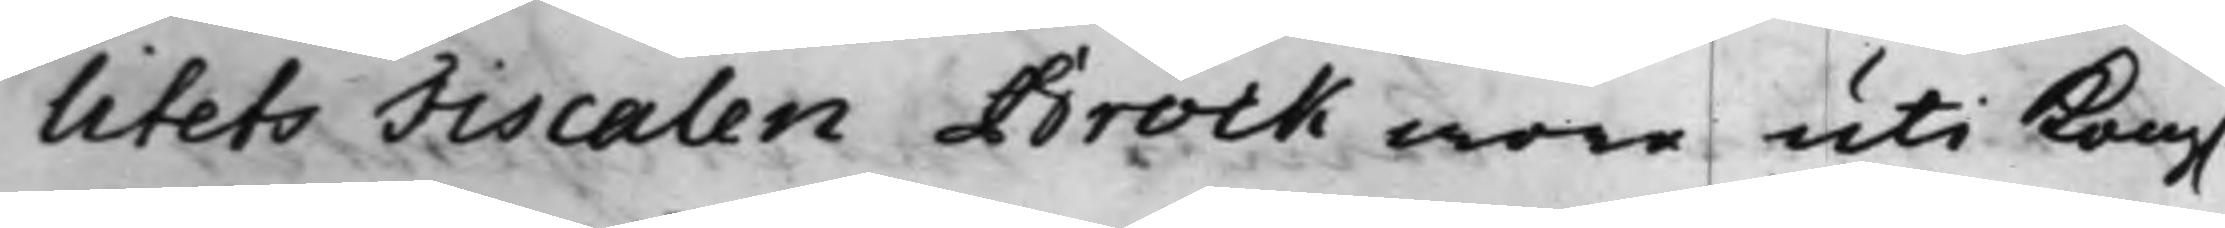litets Fiscalen Brock wore uti Kong.
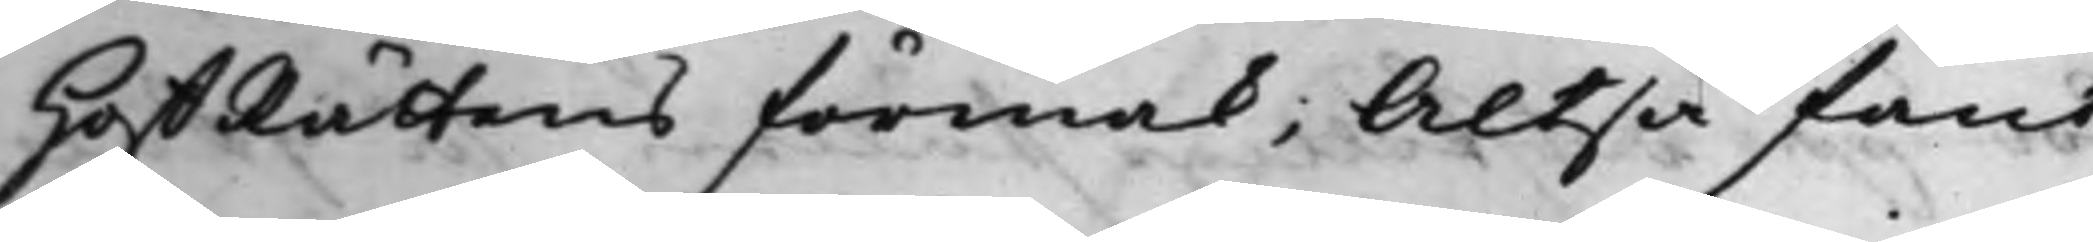HoffRättens förmak; Altså fant
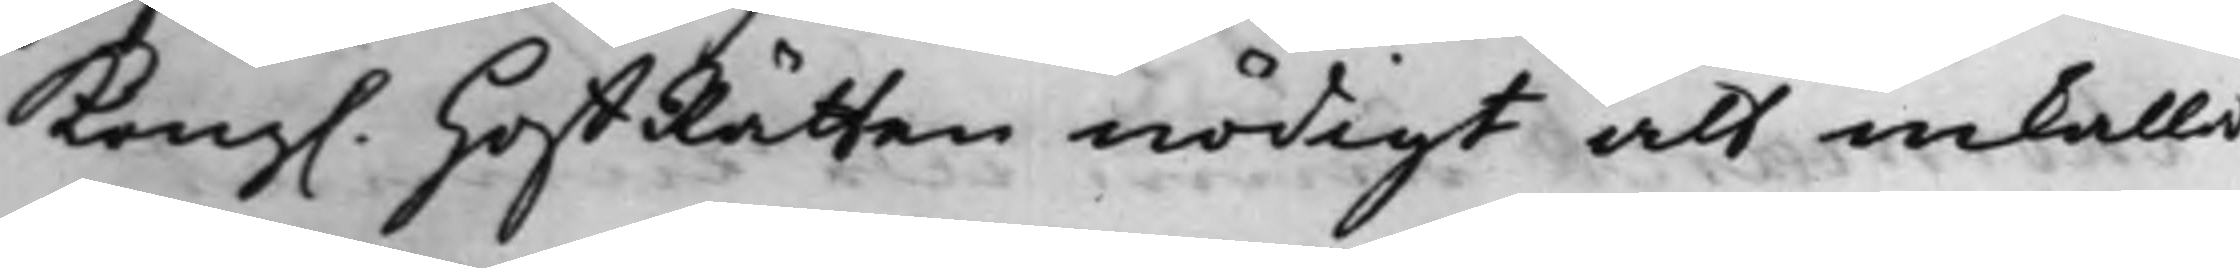Kong. HoffRätten nödigt att inkalla
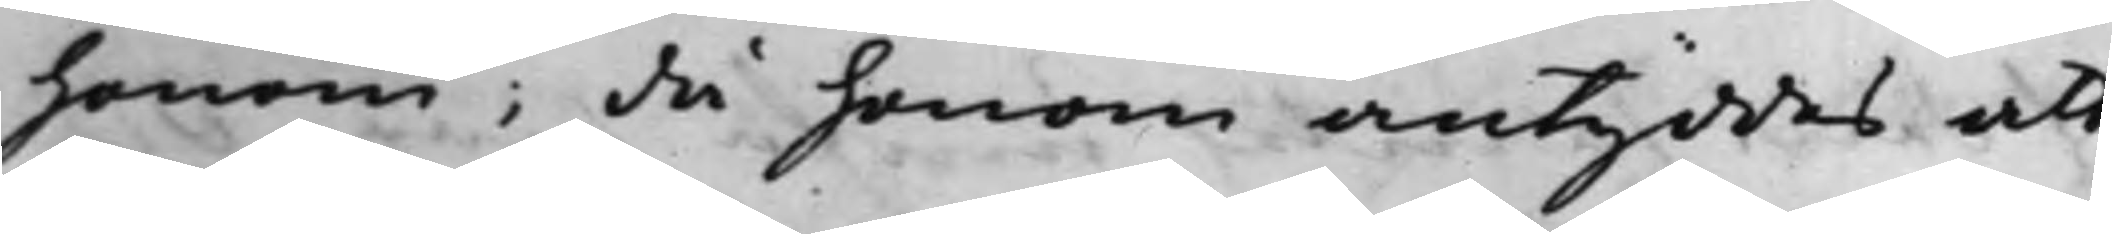honom; då honom antyddes att
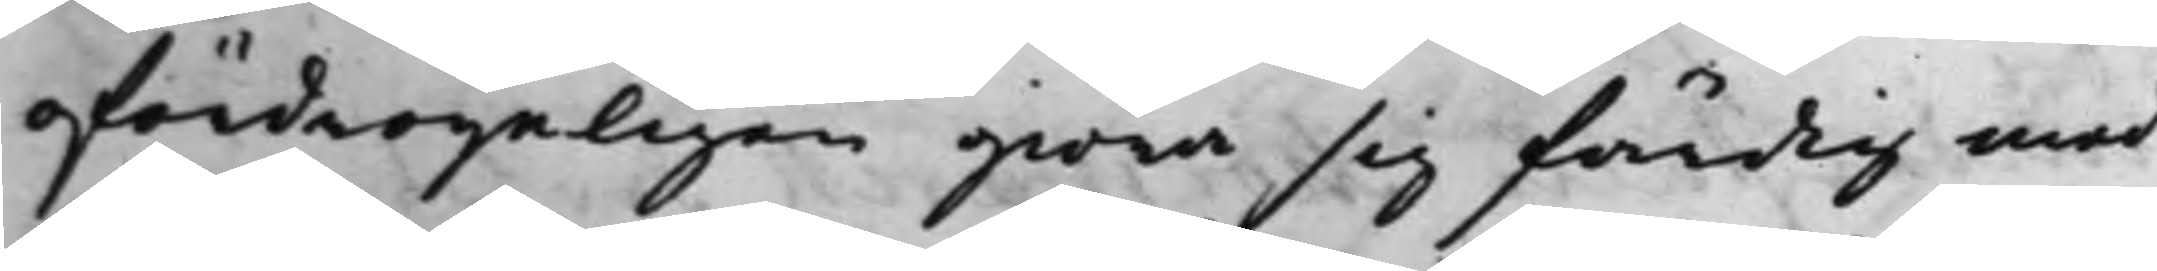ofördröyeligen giöra sig färdig med
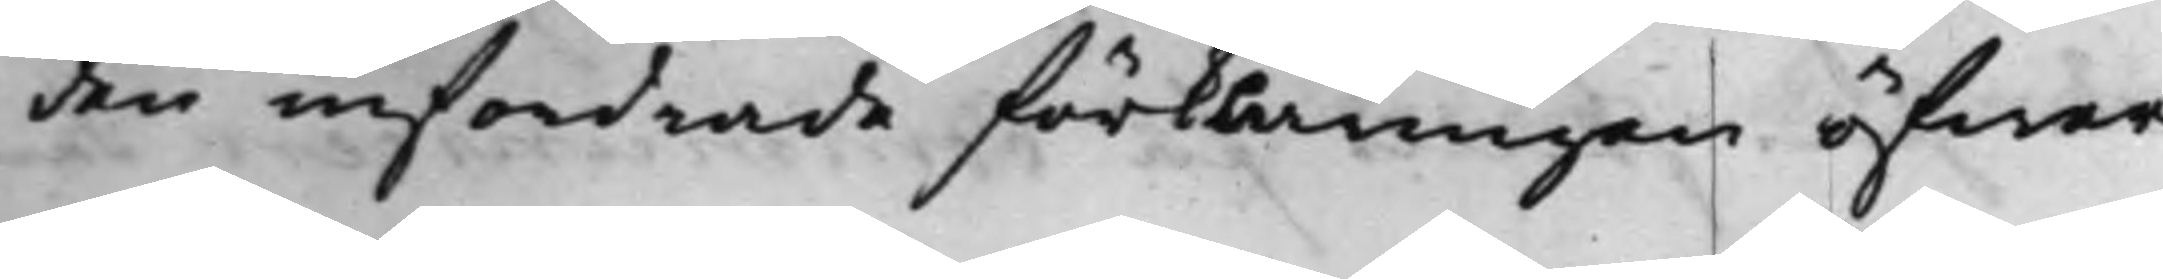den infordrade förklaringen öfwer
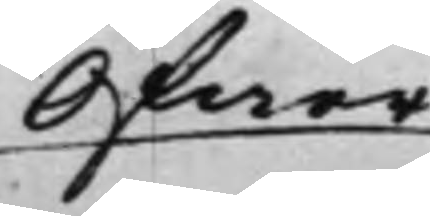Öfwer¬
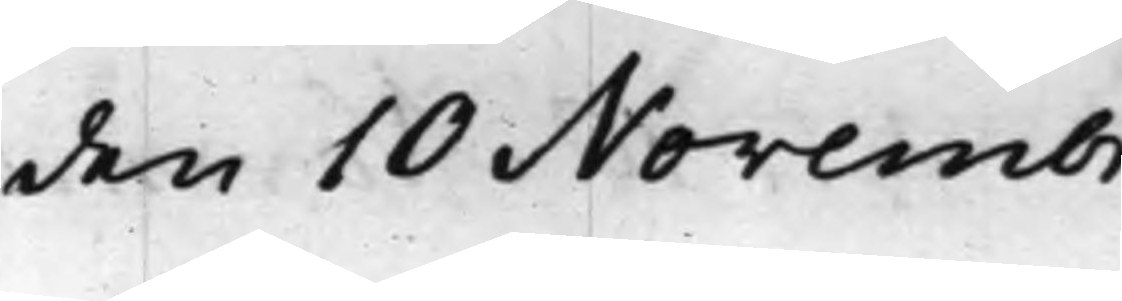den 10 Novembr.
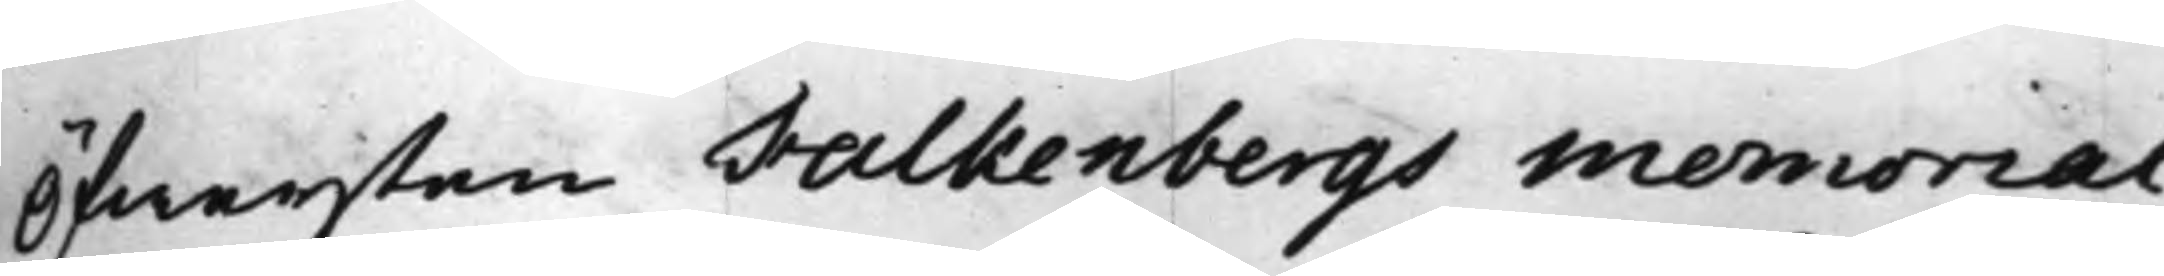Öfwersten Falkenbergs Memorial,
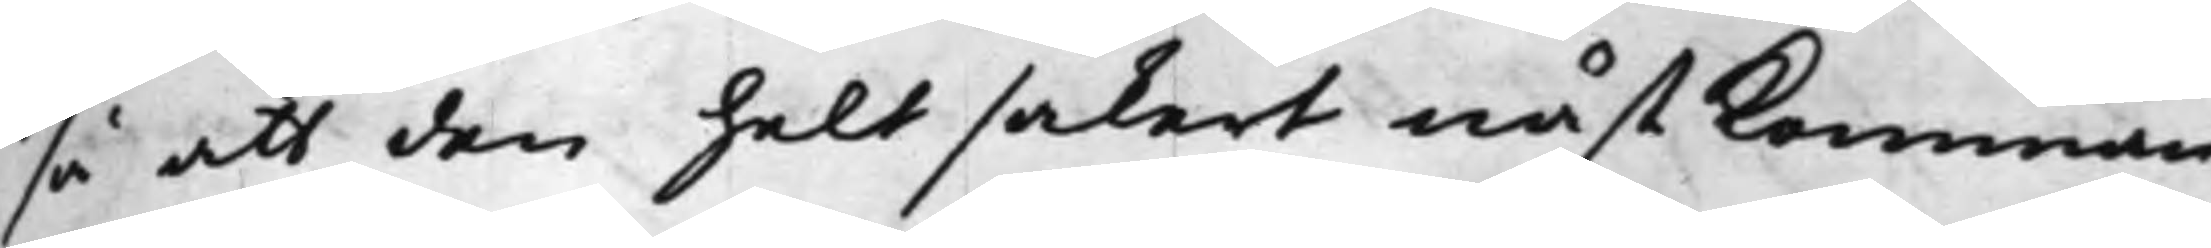så att den helt säkert nästkomman¬
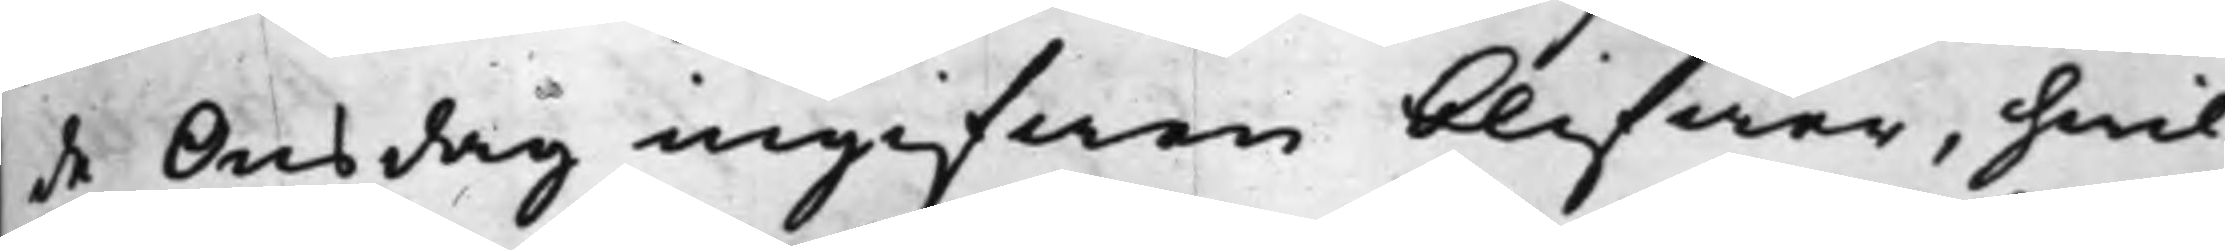de Onsdag ingifwen blifwer, hwil¬
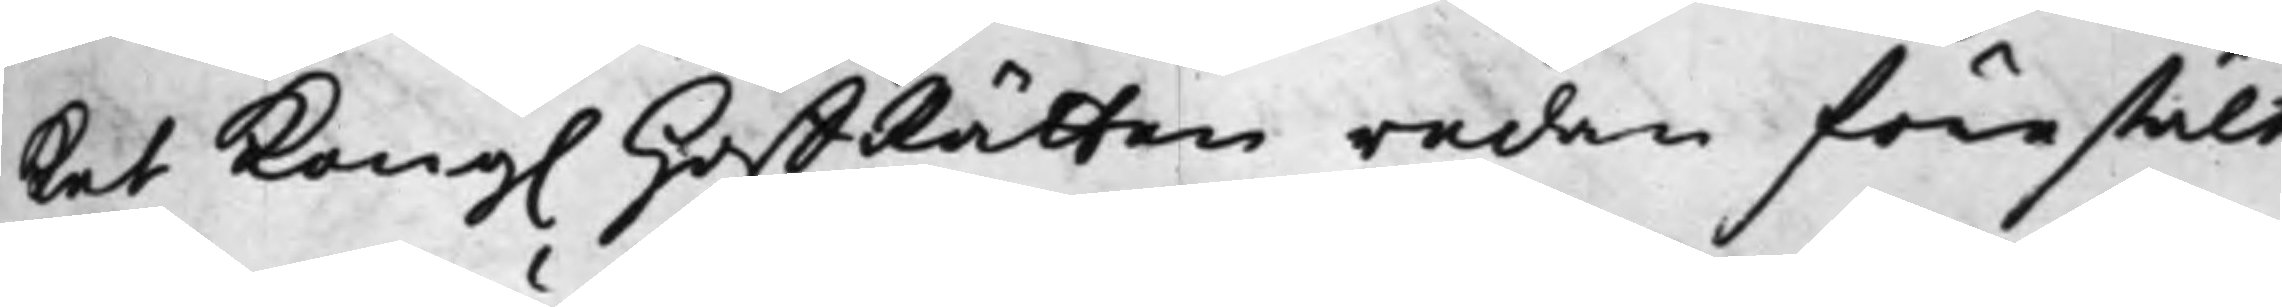ket Kong. HoffRätten redan förestält
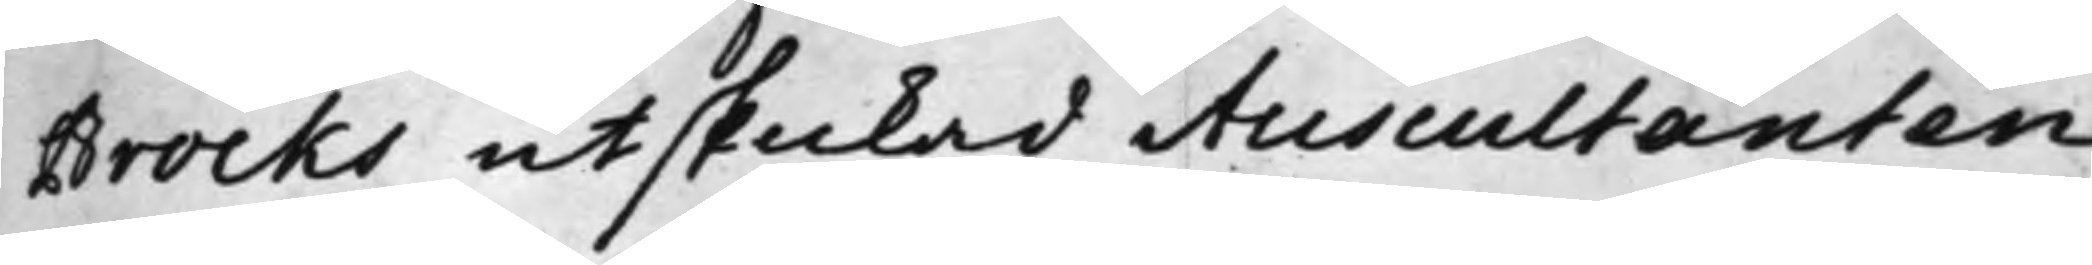Brocks utskickad Auscultanten
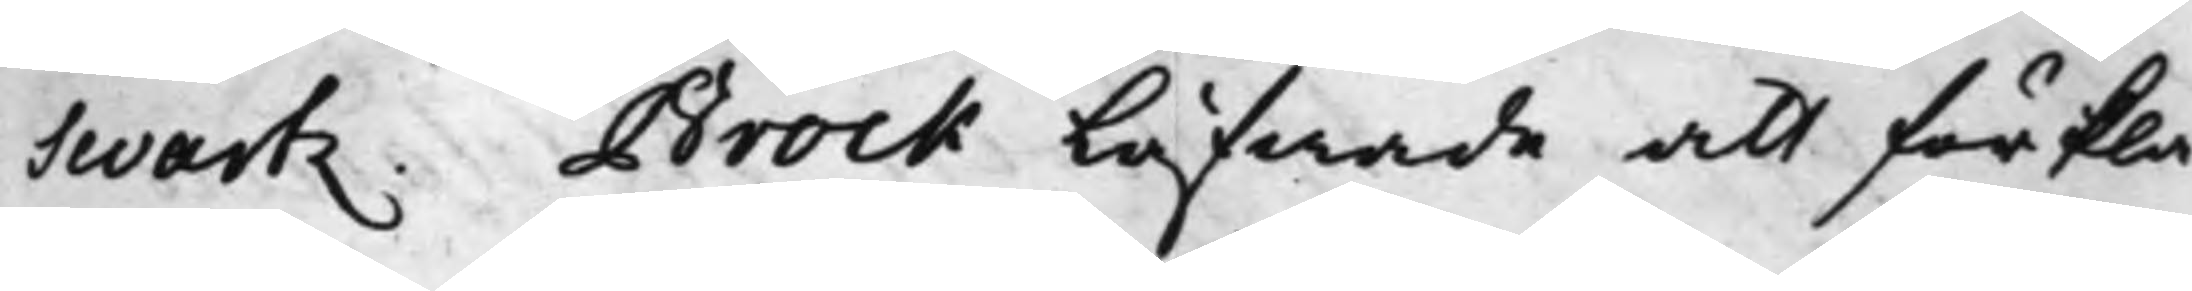Swartz. Brock låfwade att förkla¬
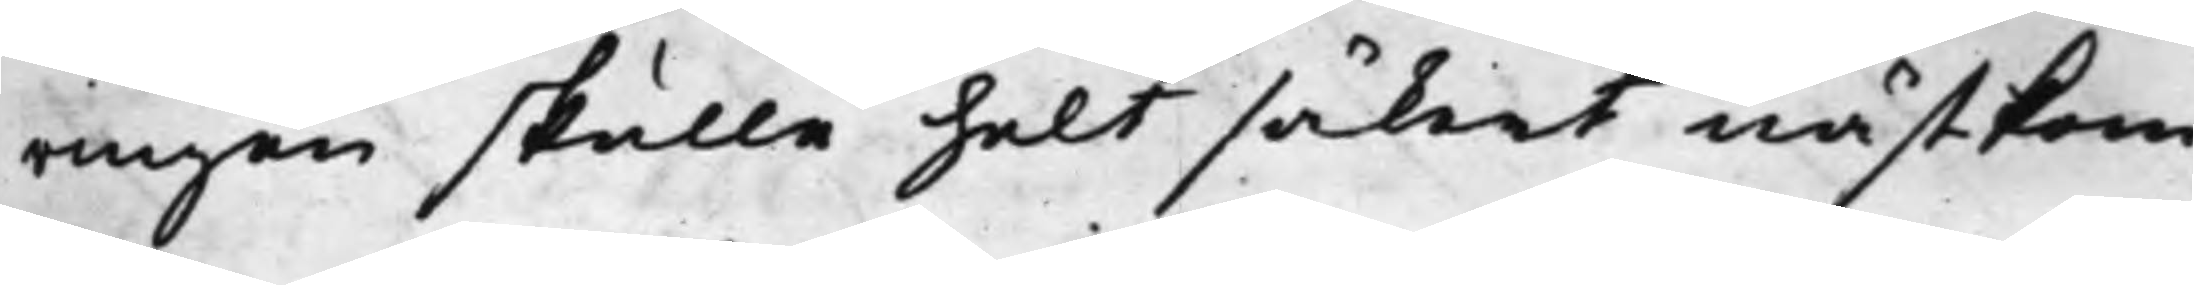ringen skulle helt säkert nästkom¬
